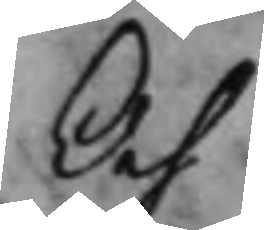Och
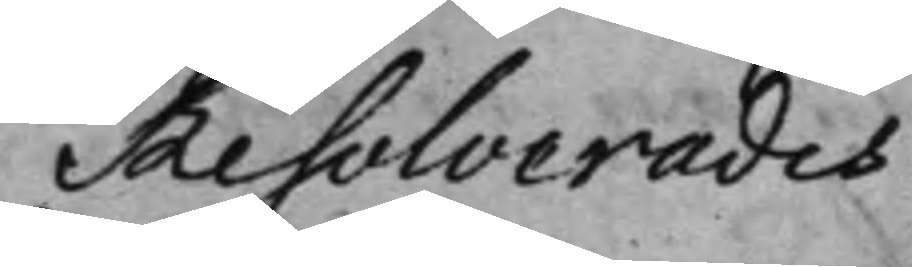Resolverades
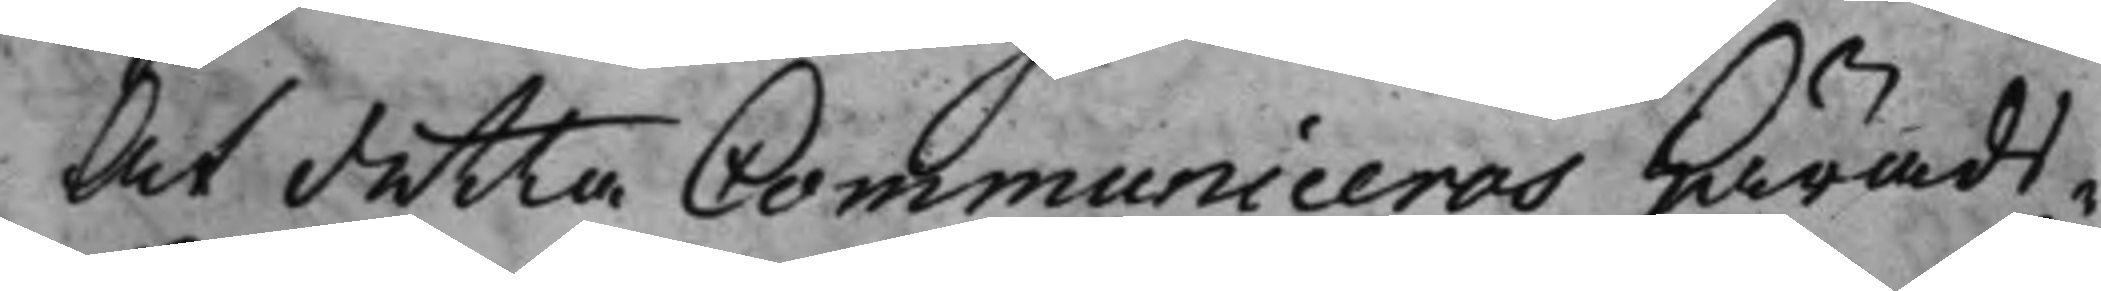At detta Communiceras Härads¬
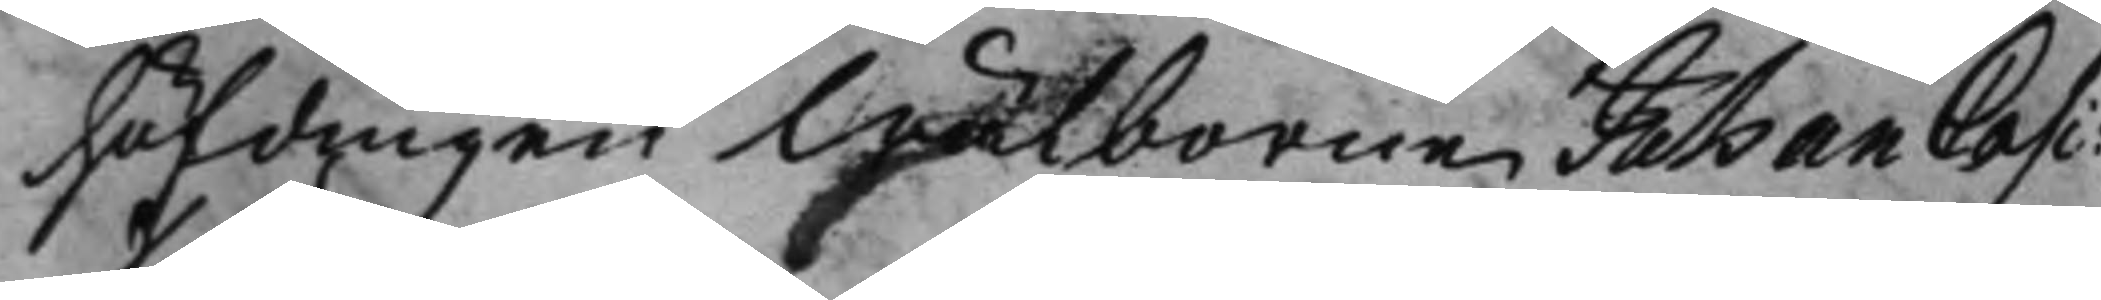höfdingen Wälborne Johan Casi:
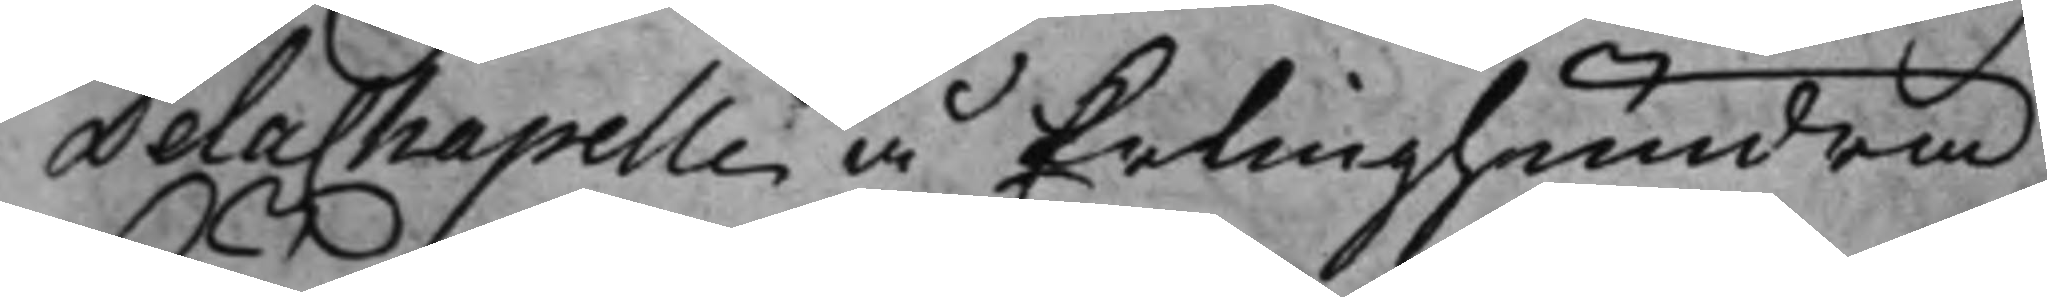DelaChapelle å Erlinghundra
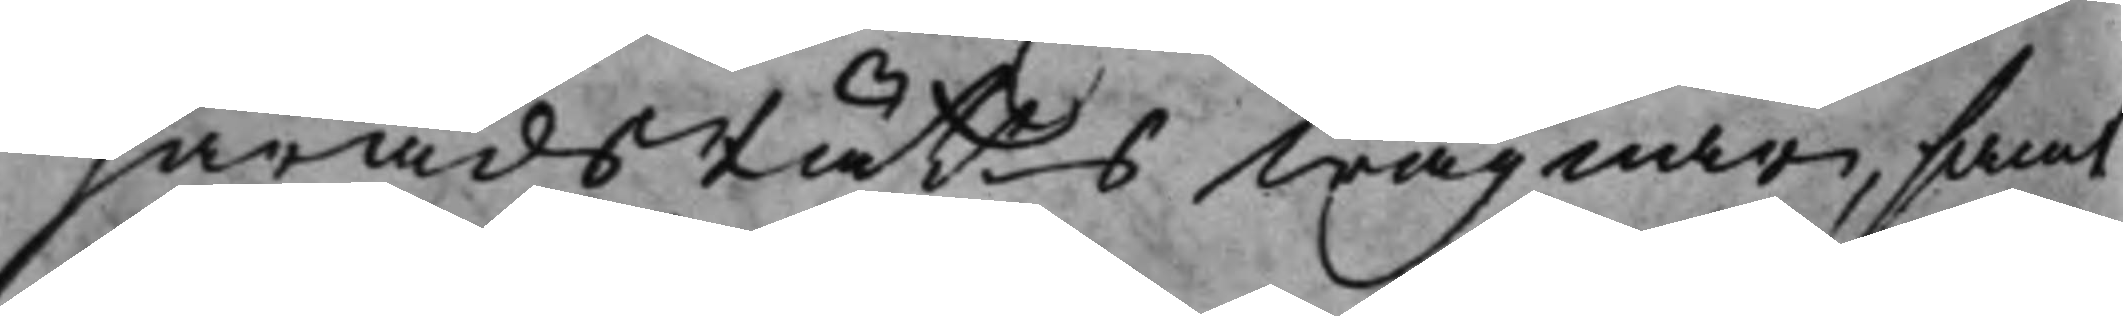HäradsRätts wägnar, samt
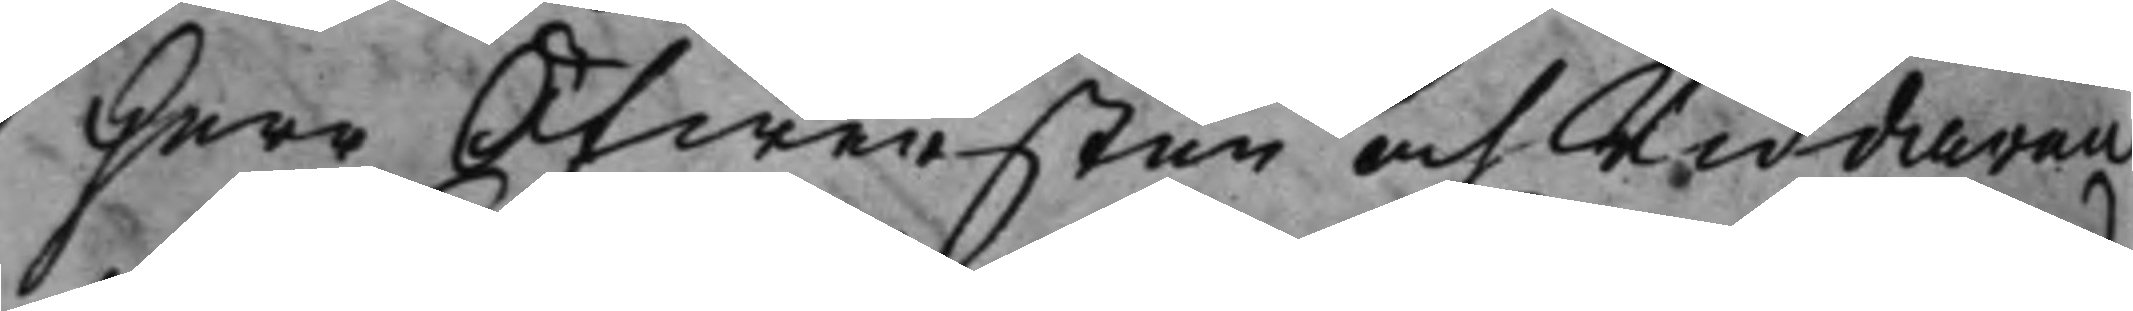Herr Öfwersten och Riddaren
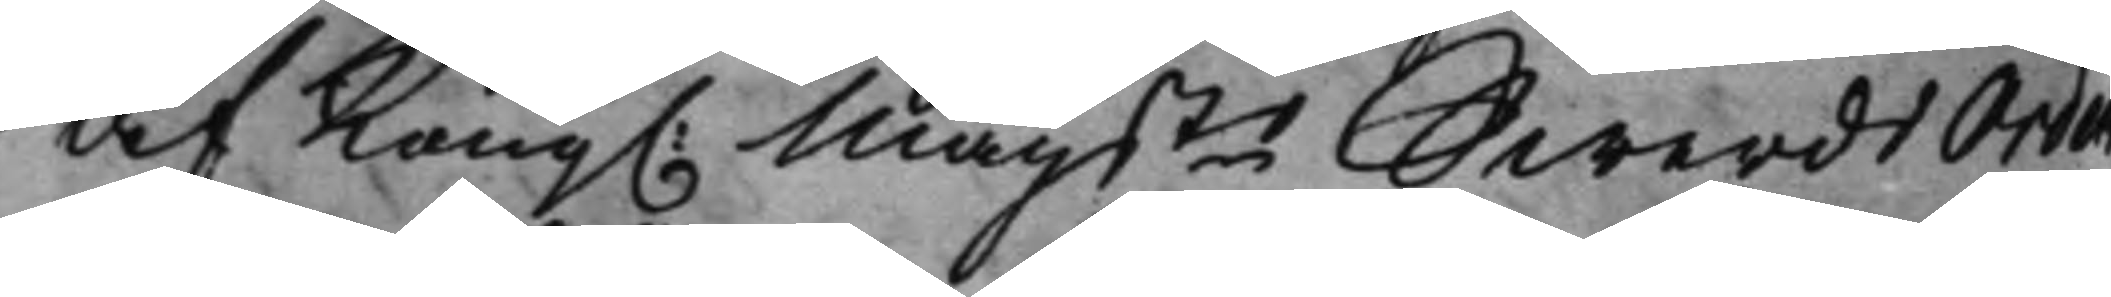af Kong. Maijts Swerds Orden
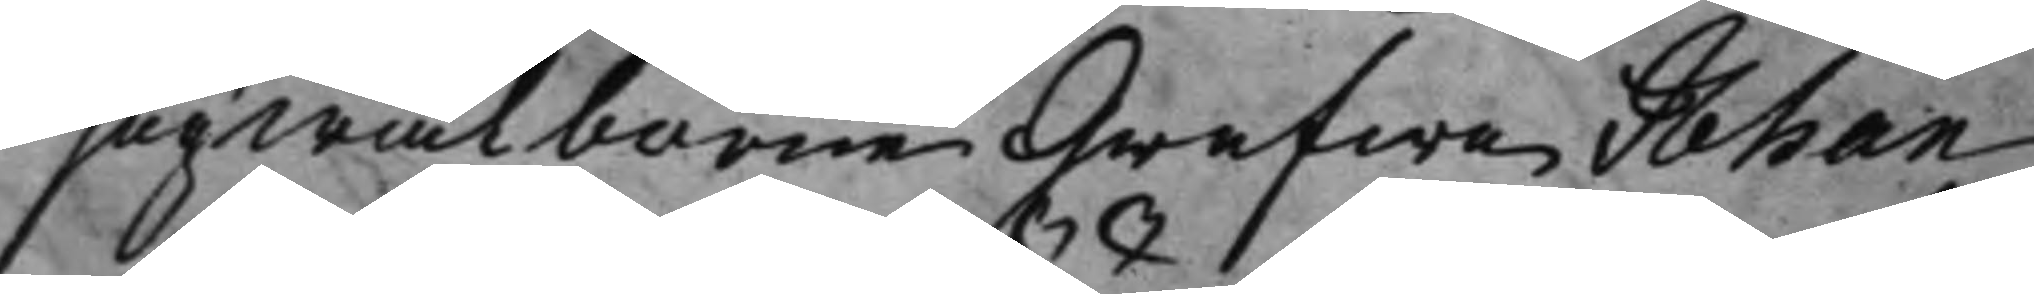Högwälborne Grefwe Johan
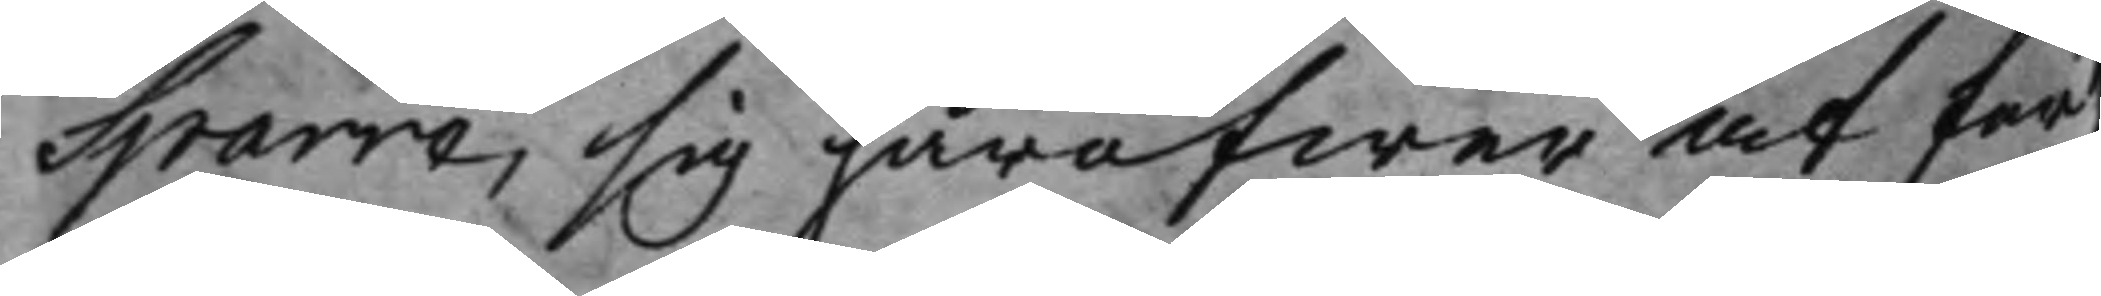Sparre, sig häröfwer at för¬
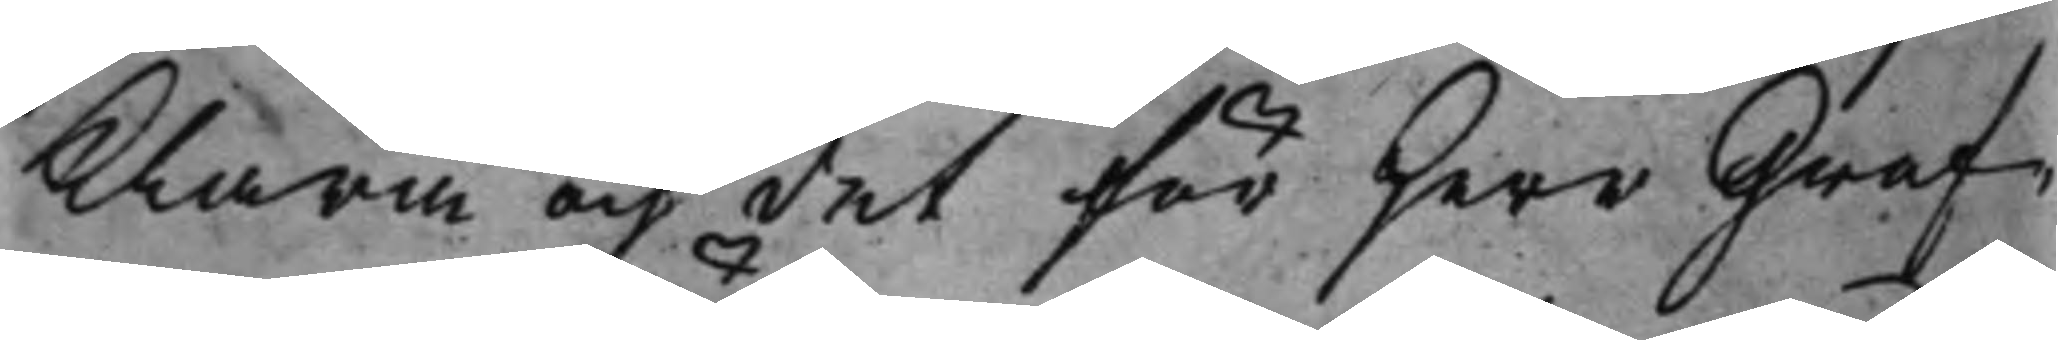klara och det för Herr Gref¬
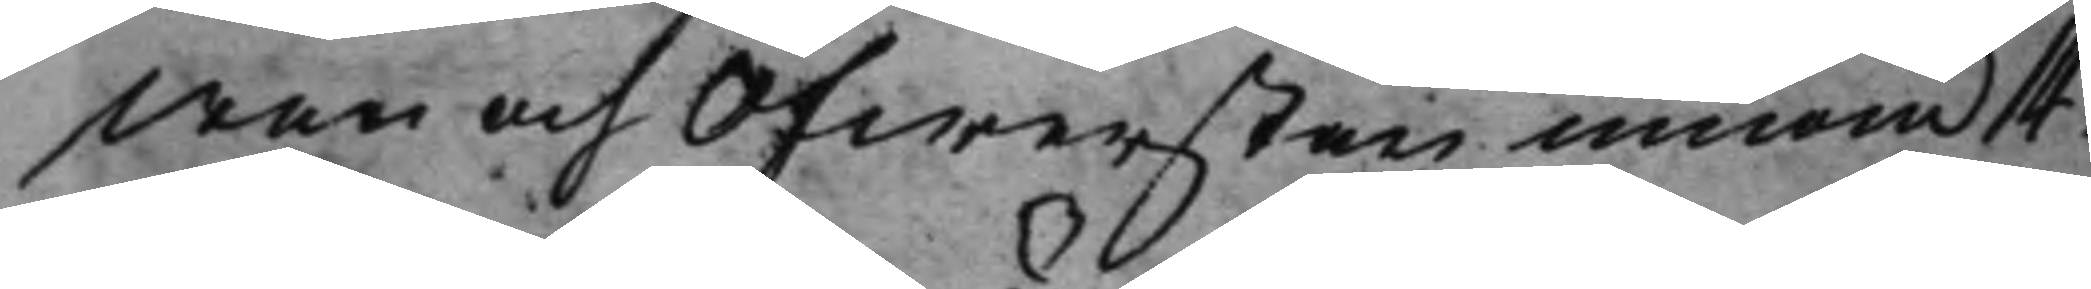wen och Öfwersten innom 14.
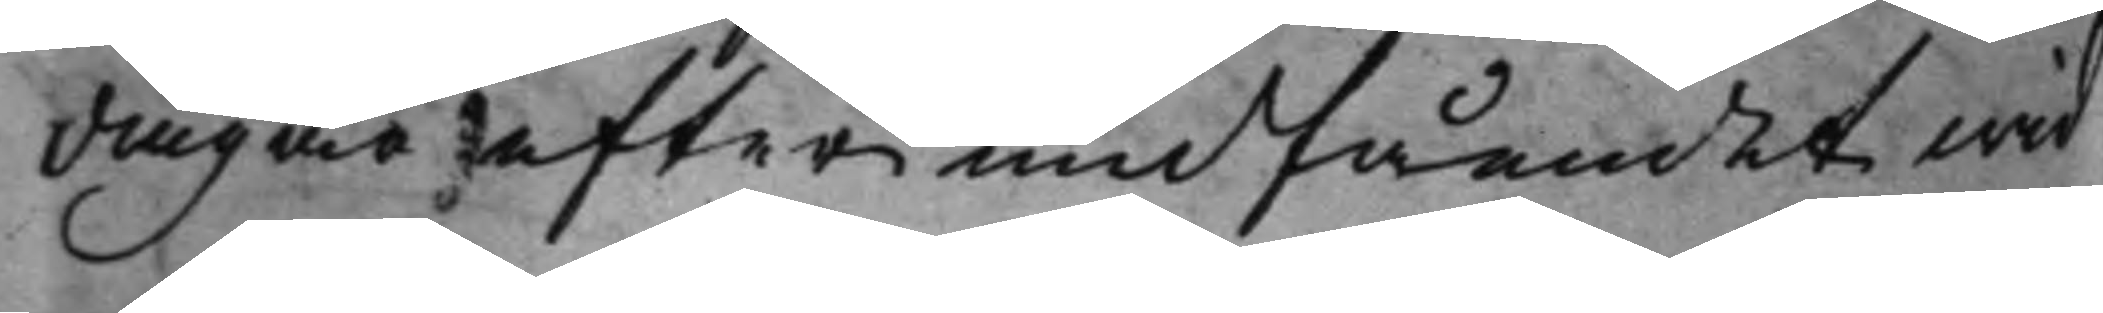dagar efter undfåendet wid
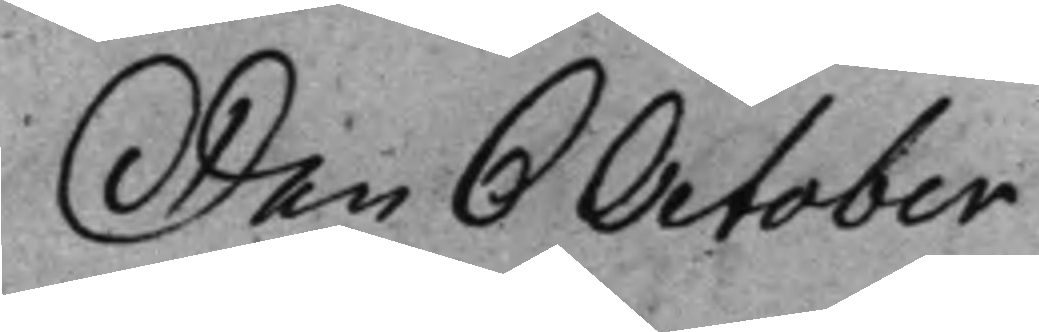Den 6 October
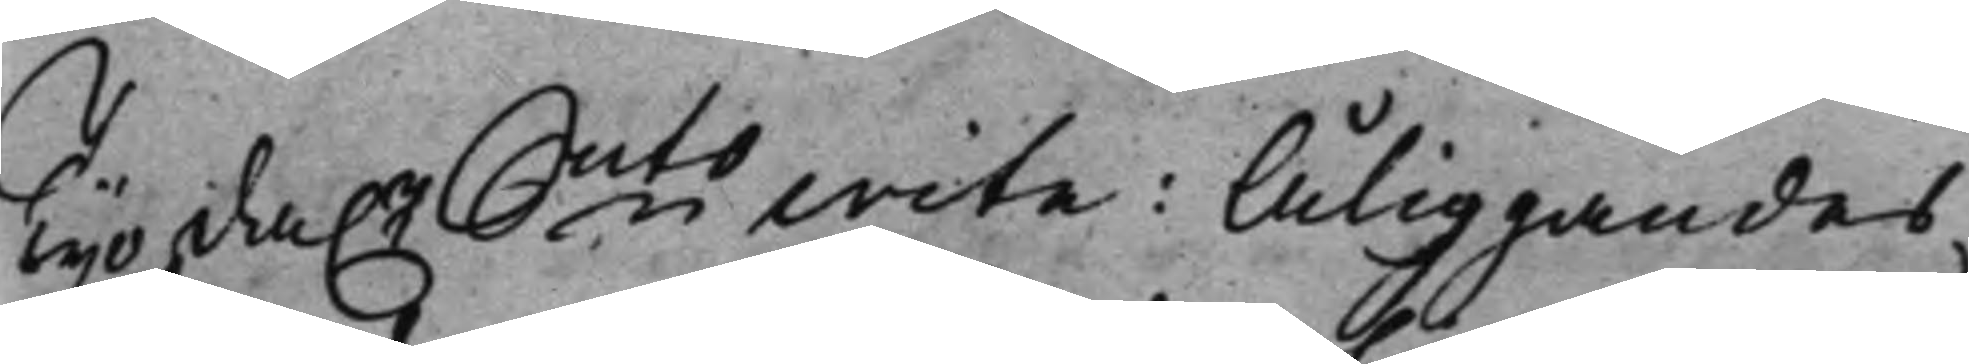Tijo da.r Smts wite: Åliggandes
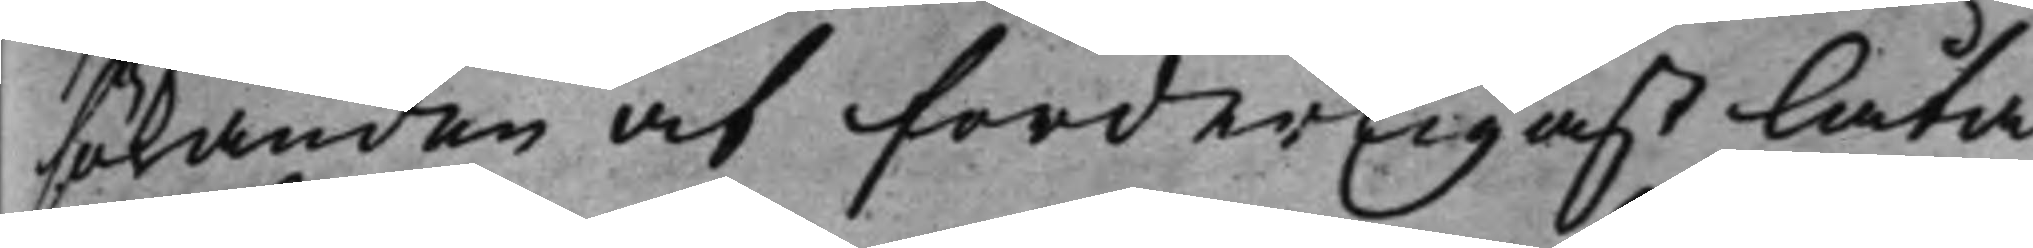sökanden at forderligast låta
